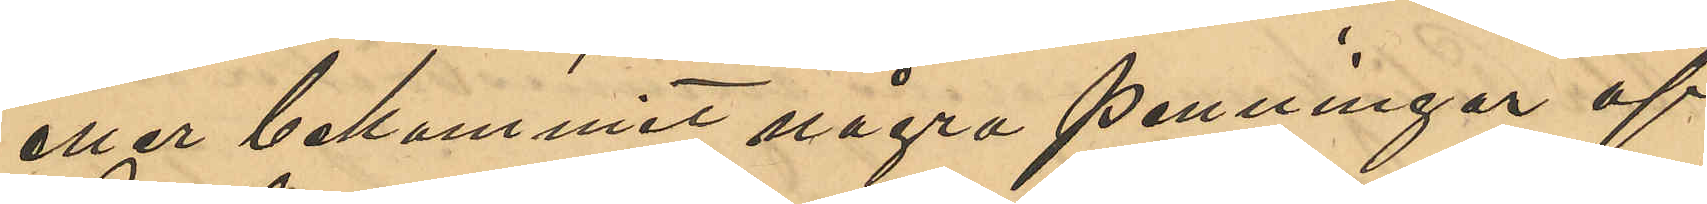eller bekommit några penningar af
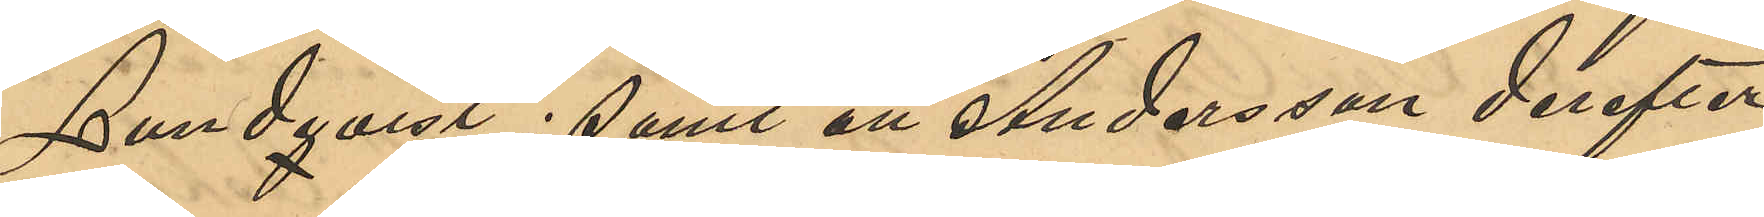Lundqvist; samt att Andersson derefter
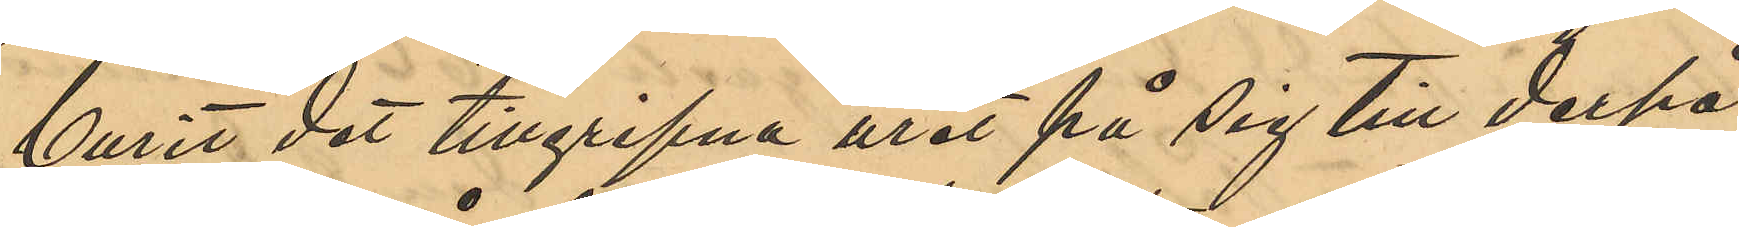burit det tillgripna uret på sig till derpå¬
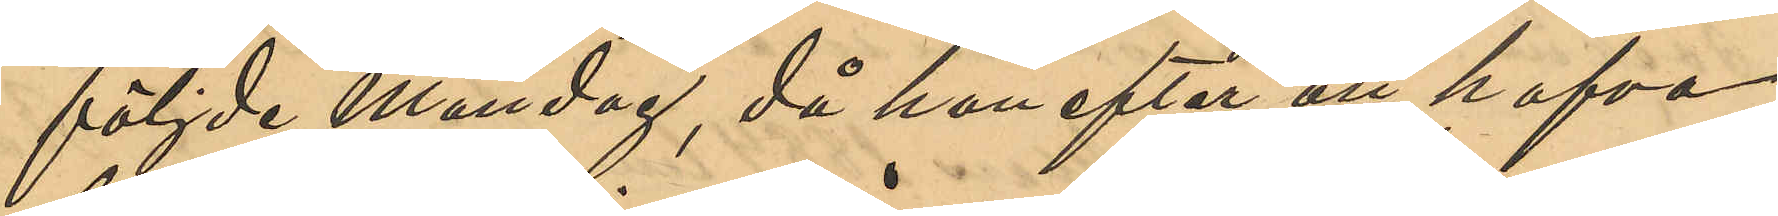följde Måndag, då han efter att hafva
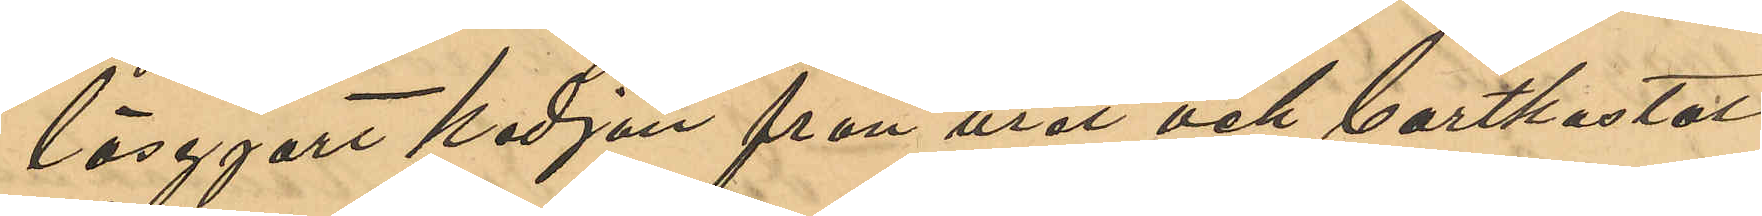lösgjort kedjan från uret och bortkastat
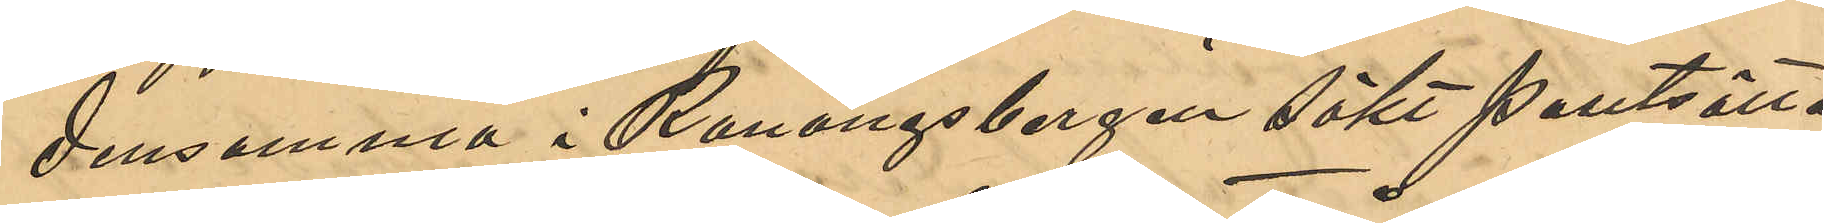densamma i Ranängsbergen sökt pantsätta
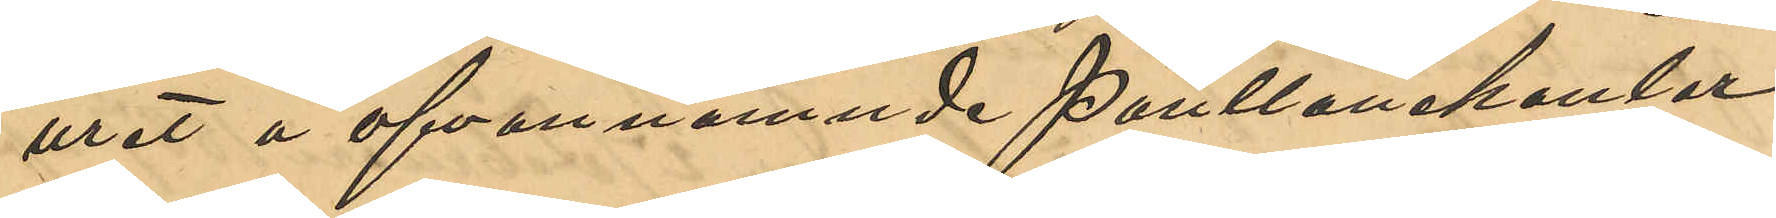uret å ofvannämnde Pantlånekontor
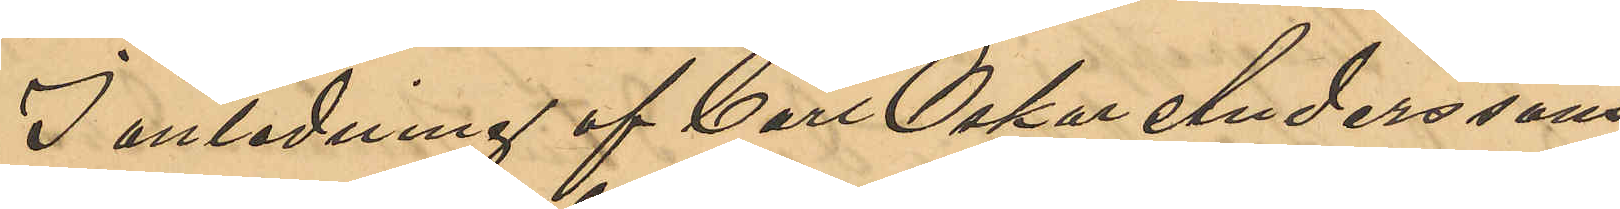I anledning af Carl Oskar Anderssons
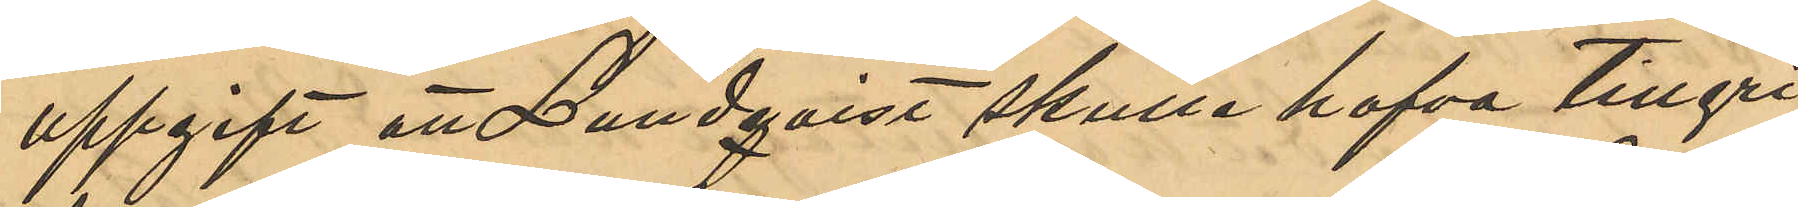uppgift att Lundqvist skulle hafva tillgri¬
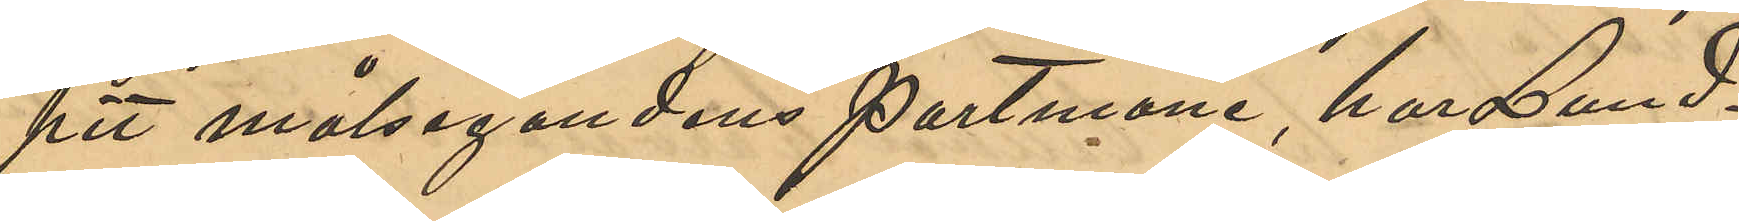pit målseganden portmone, har Lund¬
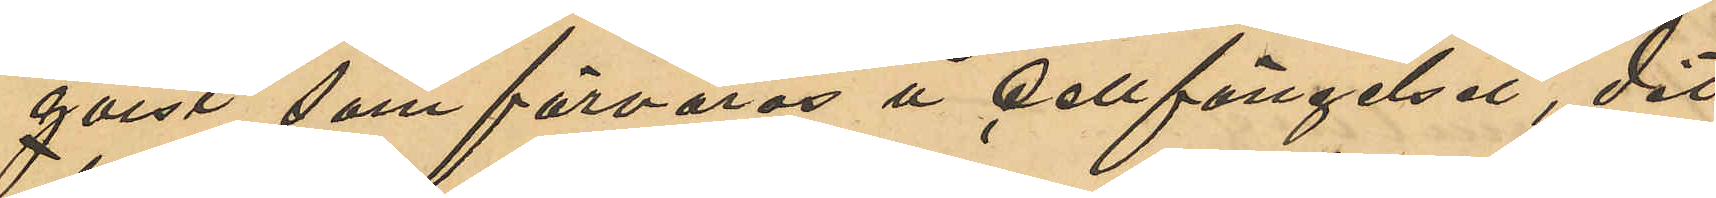qvist, som förvaras å cellfängelset, dit
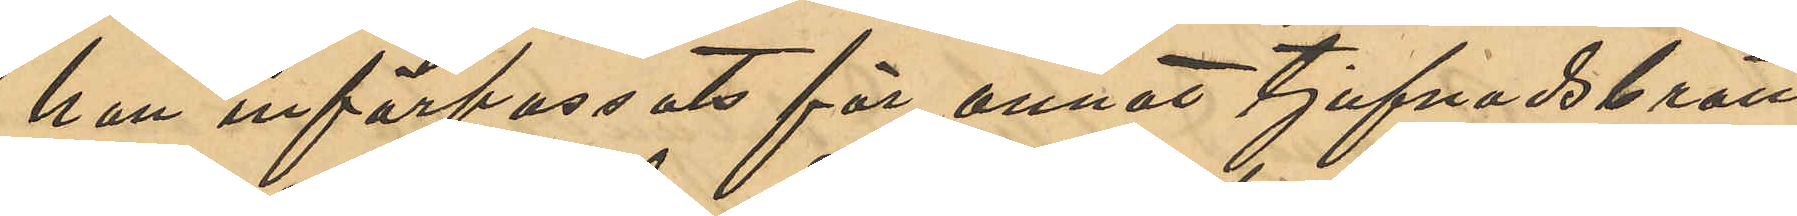han införpassats för annat tjufnadsbrott,
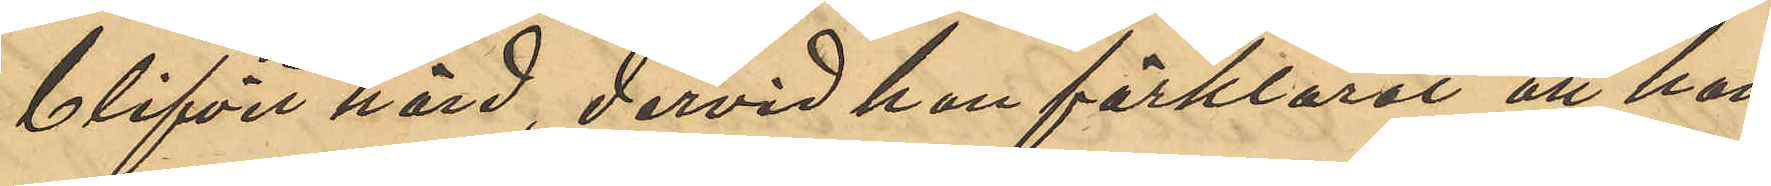blifvit hörd, dervid han förklarat att han
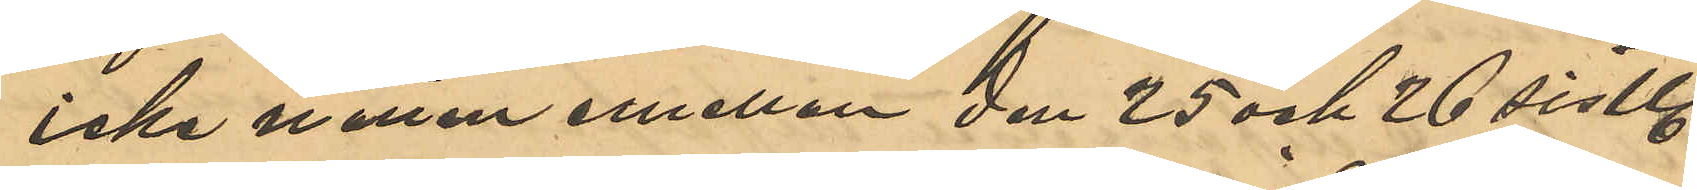icke natten emellan den 25 och 26 sistl.
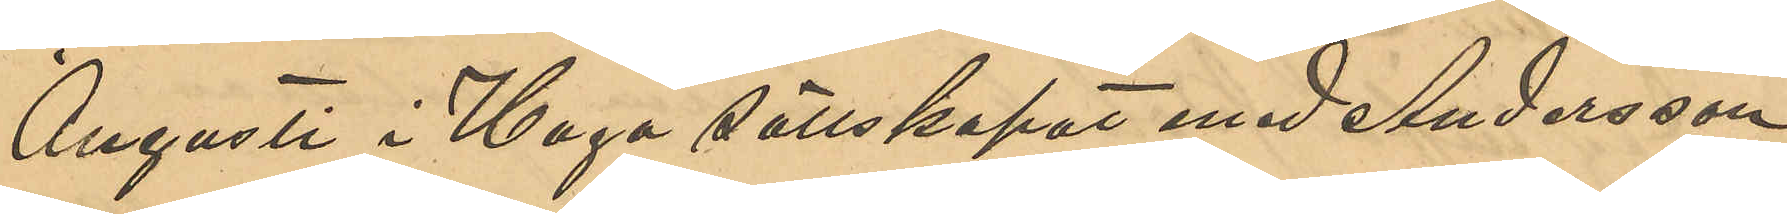Augusti i Haga sällskapat med Andersson;
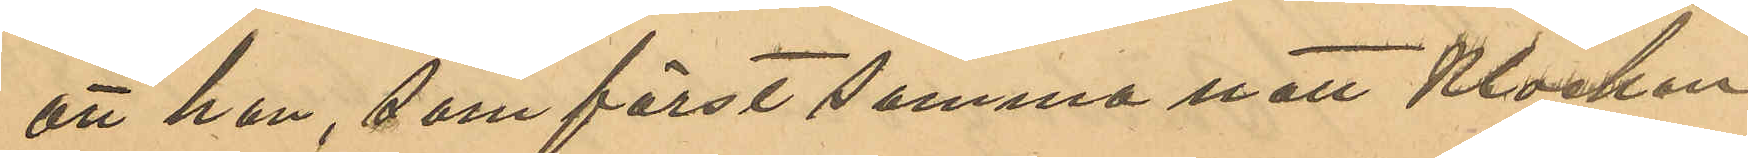att han som först samma natt Klockan
